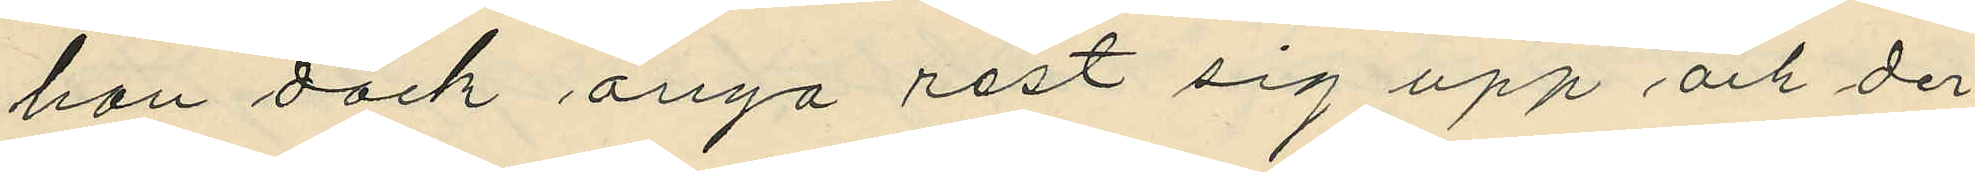han dock ånyo rest sig upp och der¬
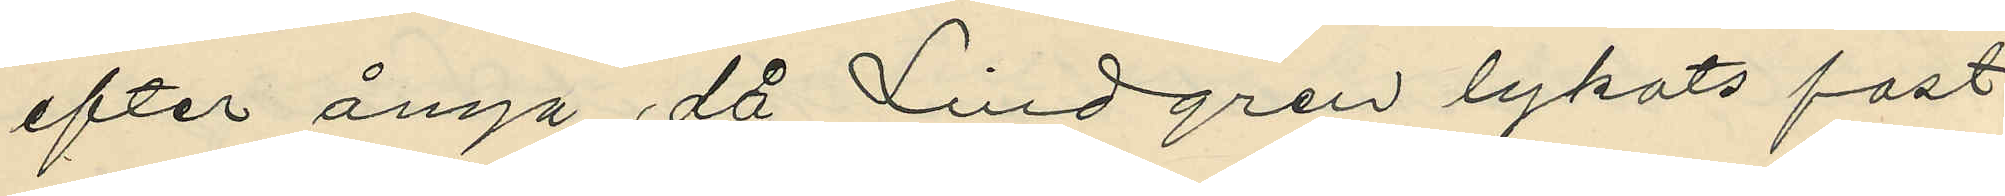efter ånyo då Lindgren lykats fast¬
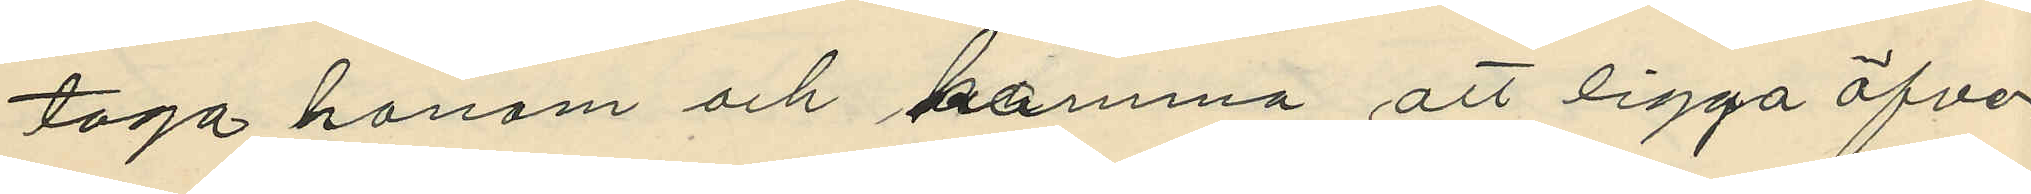taga honom och komma att ligga öfver
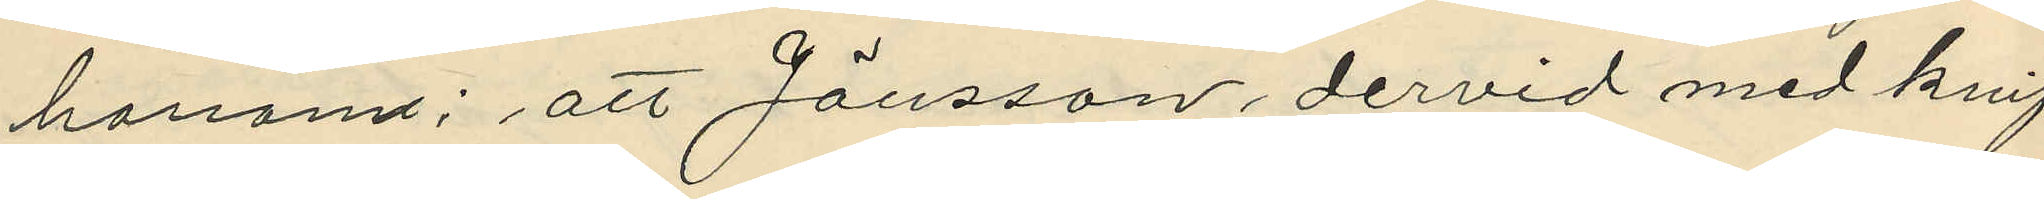honom; att Jönsson dervid med knif
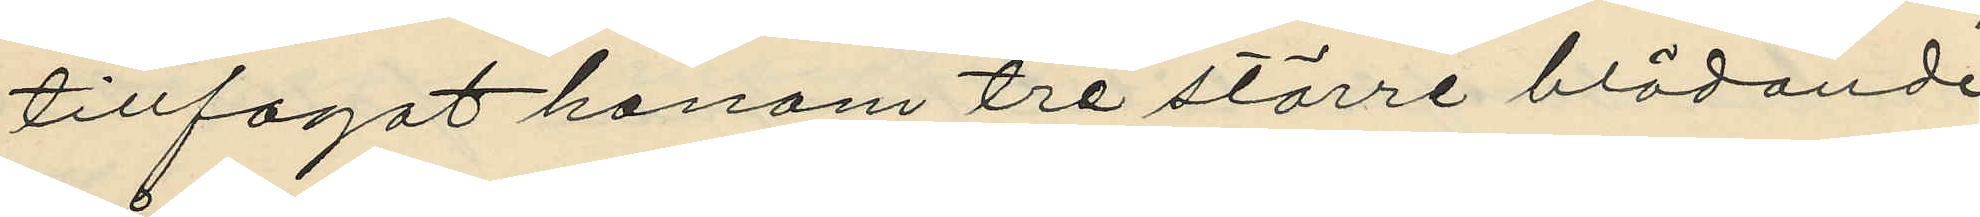tillfogat honom tre större blödande
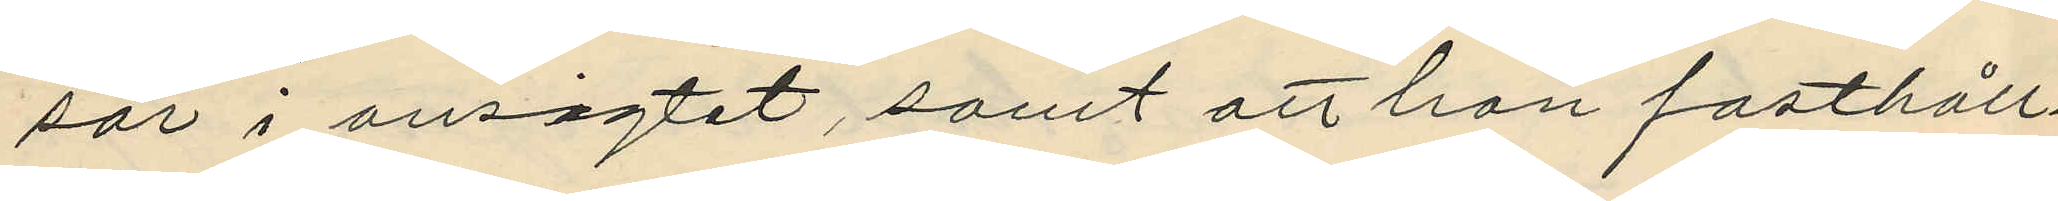sår i ansigtet, samt att han fasthåll¬
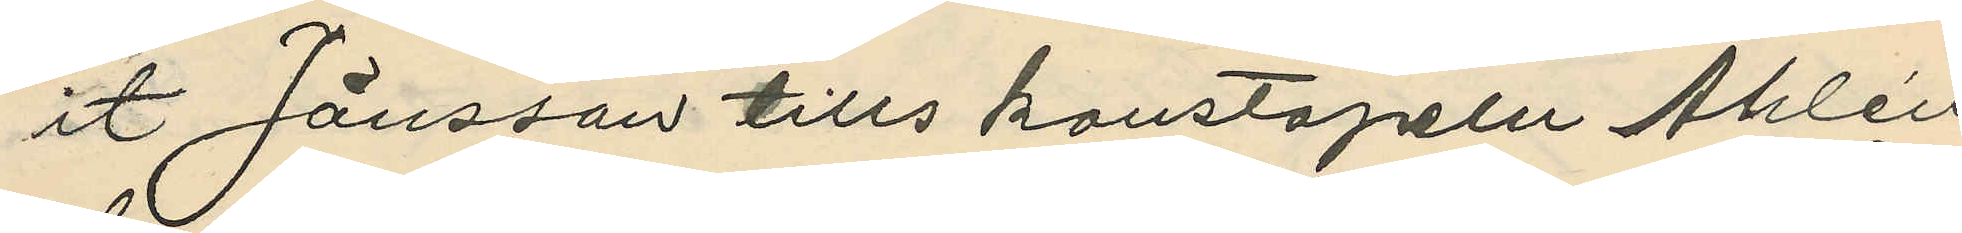it Jönsson tills konstapeln Åhlén
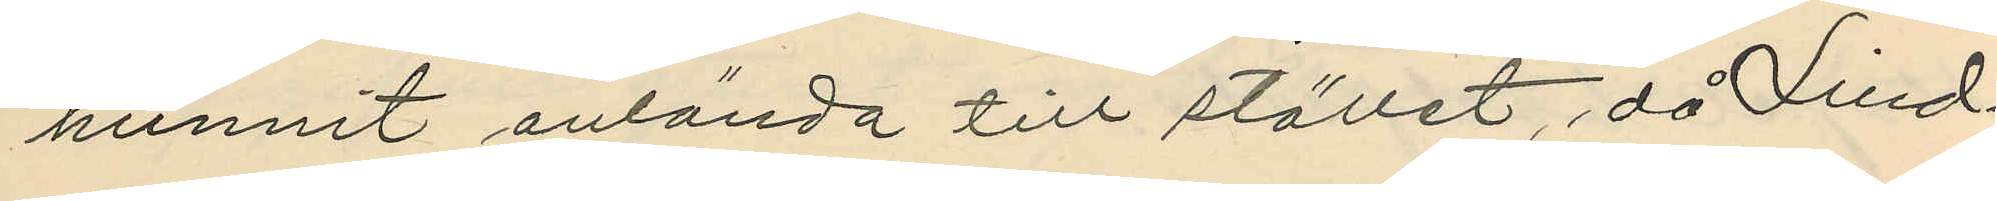hunnit anlända till stället, då Lind¬
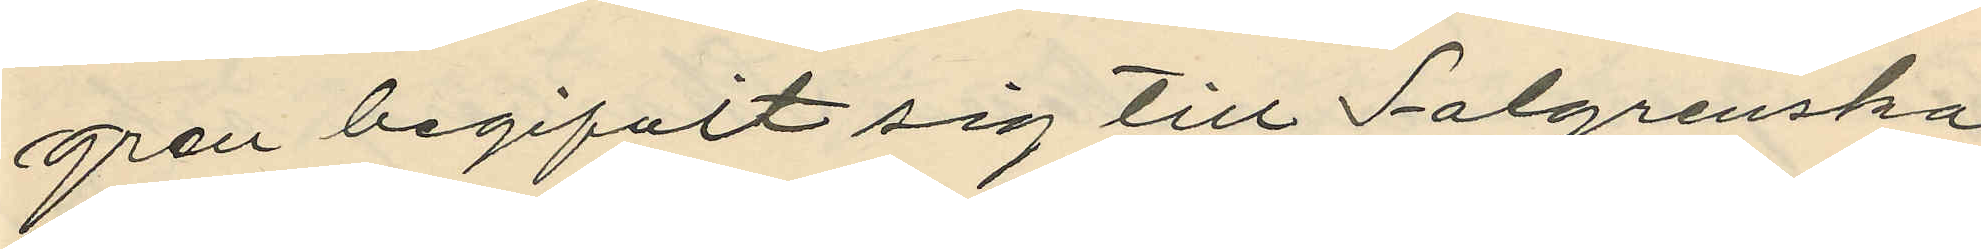gren begifvit sig till Salgrenska
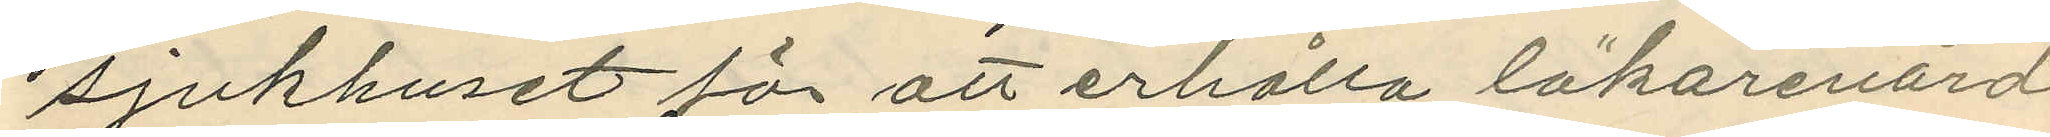sjukhuset för att erhålla läkarevård;
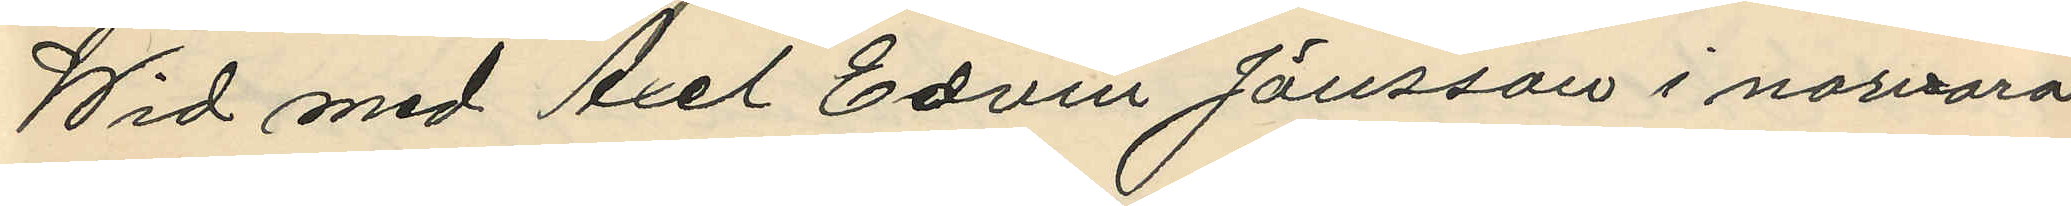Wid med Axel Edvin Jönsson i narvaro
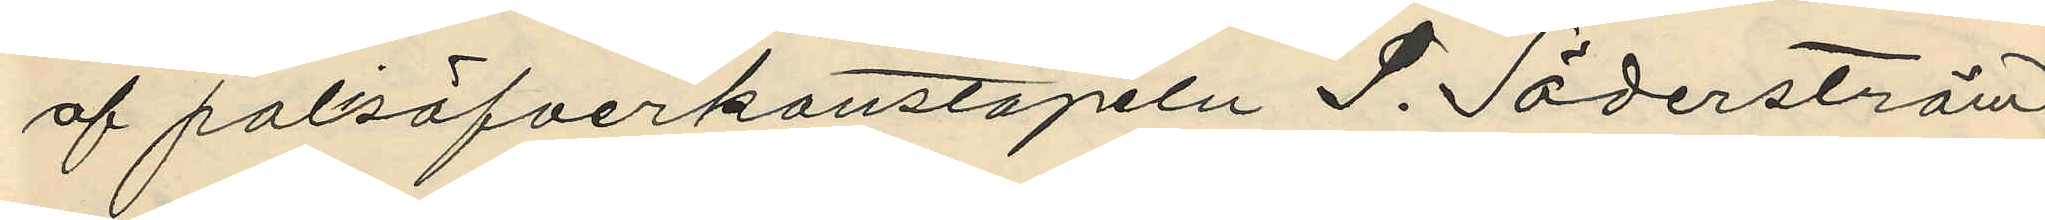af polisöfverkonstapeln S. Söderström
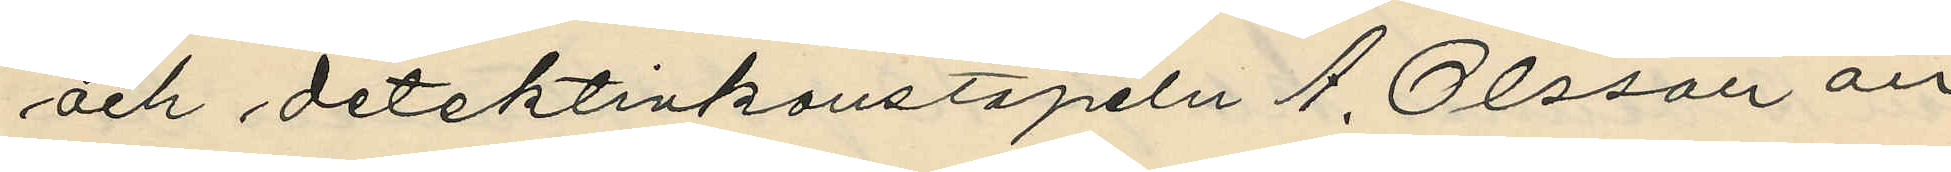och detektivkonstapeln A. Olsson an¬
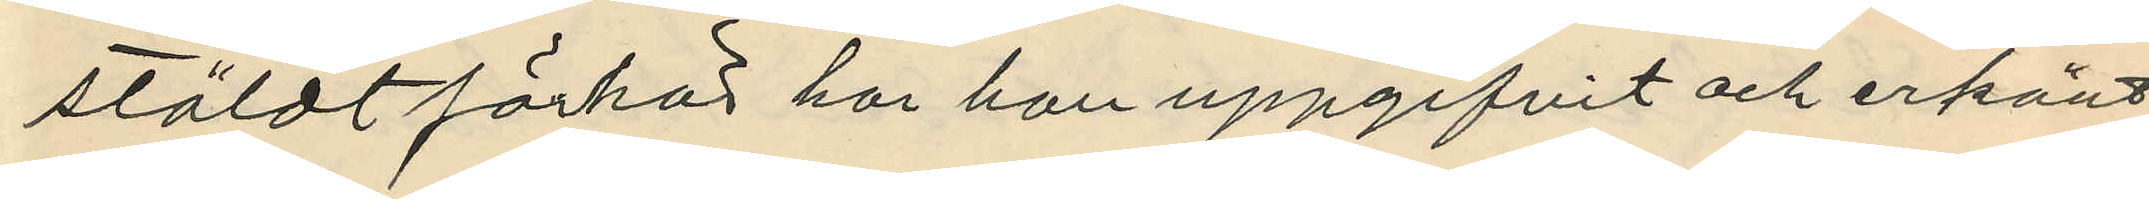stäldt förhör har han uppgifvit och erkänt
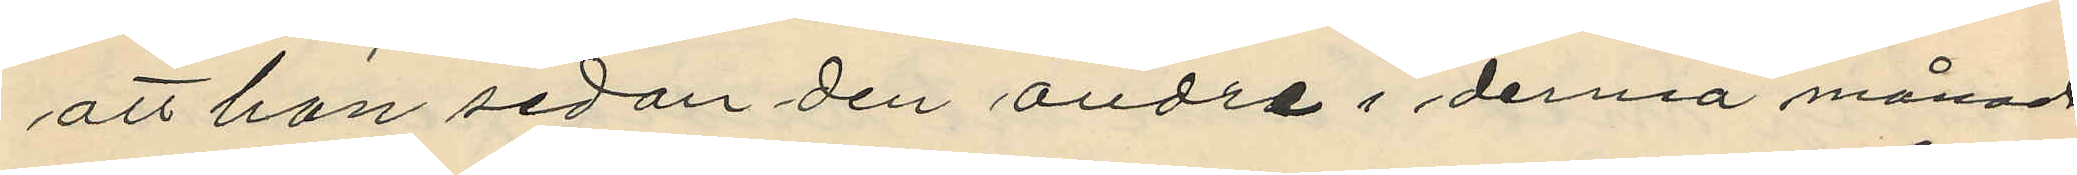att han sedan den andre i denna månad
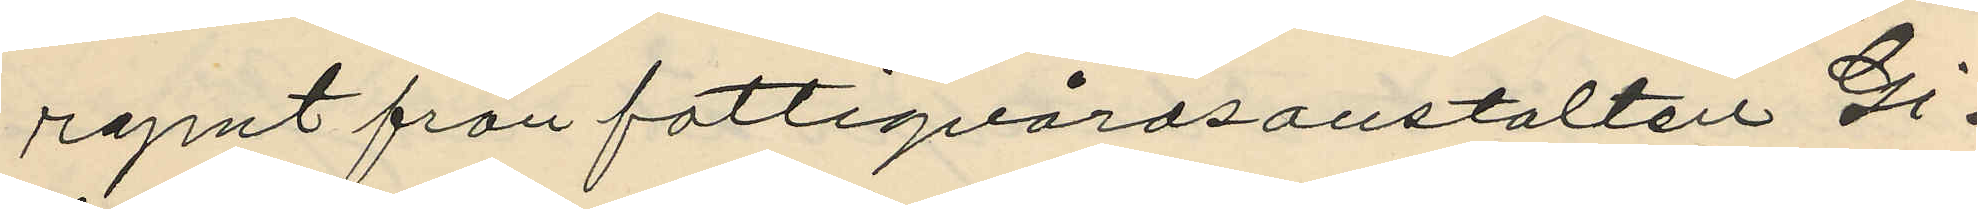rymt från fattigvårdsanstalten Gi¬
